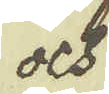och
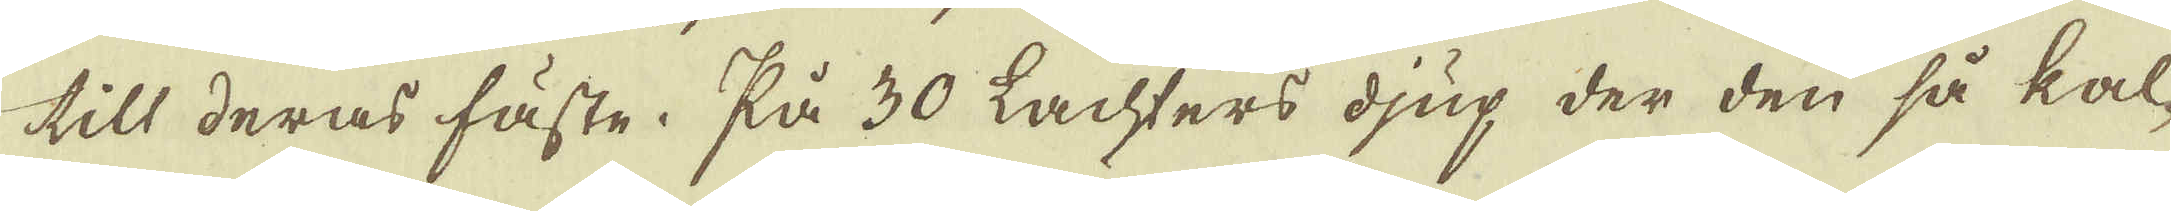till deras fäste. På 30 Lachters djup der den så kal-
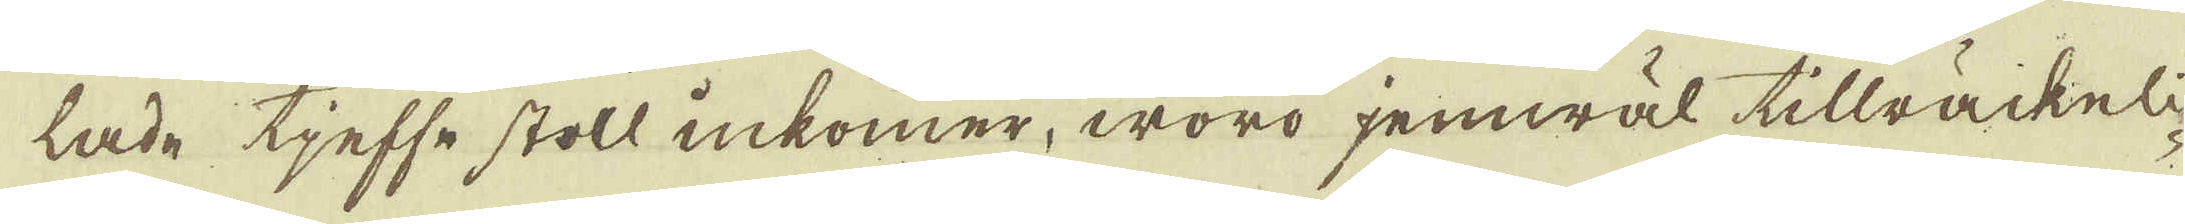lade tjefse stoll inkomer, woro jemwäl tillräckeli-
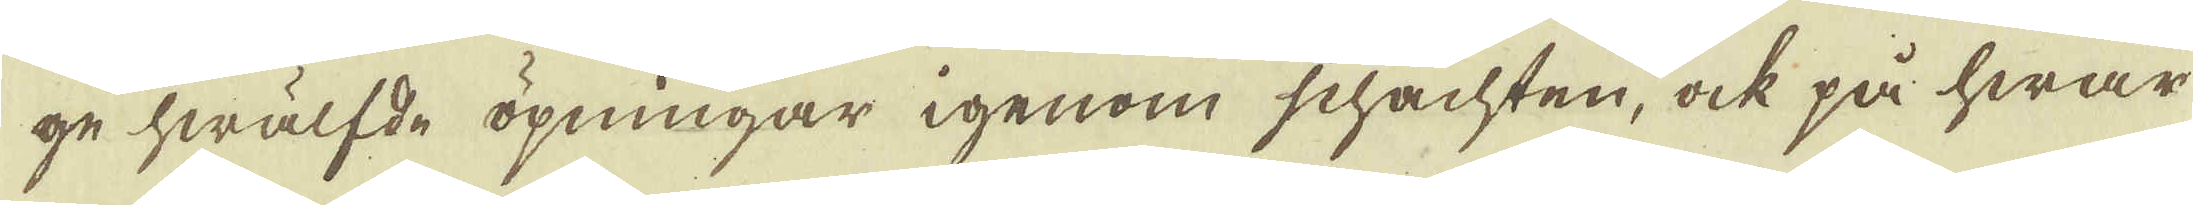ge hwälfde öpningar igenom schachten, ock på hwar
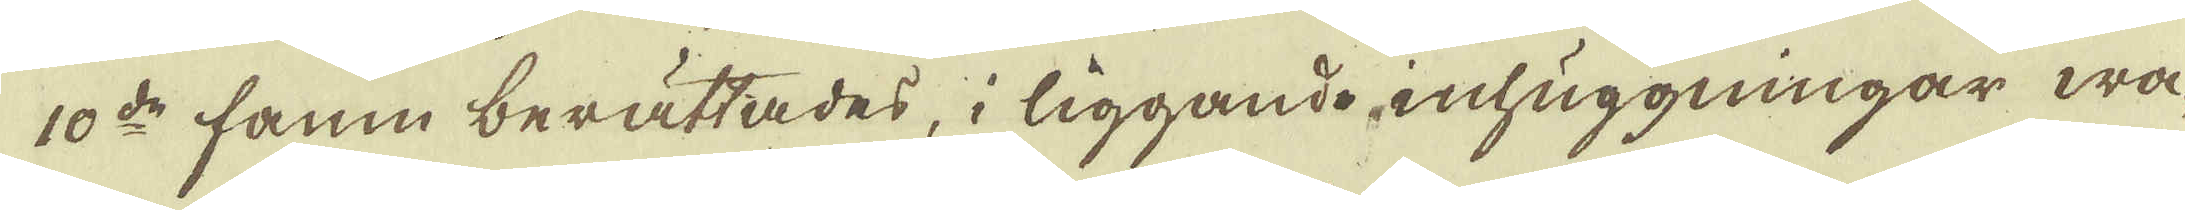10:de famn berättades, i liggande inhuggningar wa-
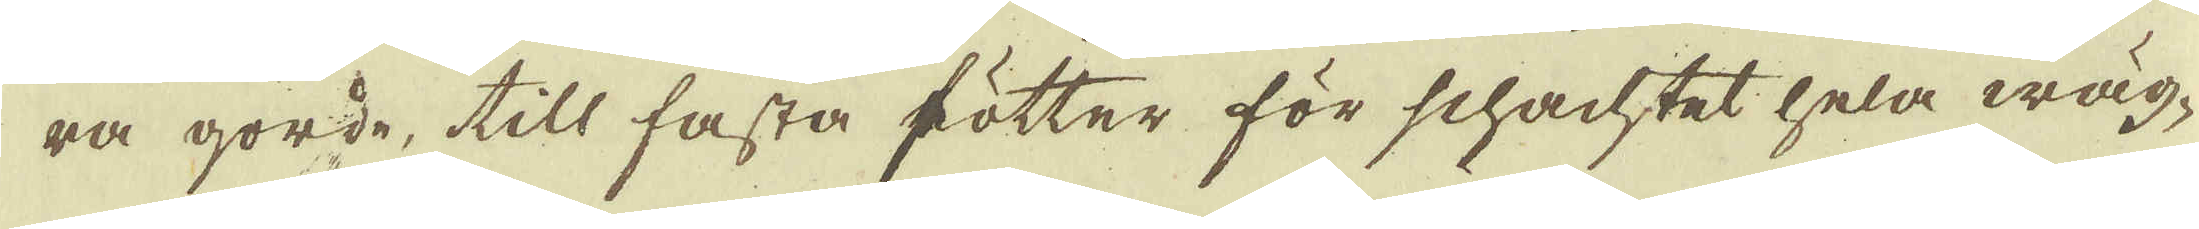ra gorde, till fasta fötter för schachtet hela wäg-
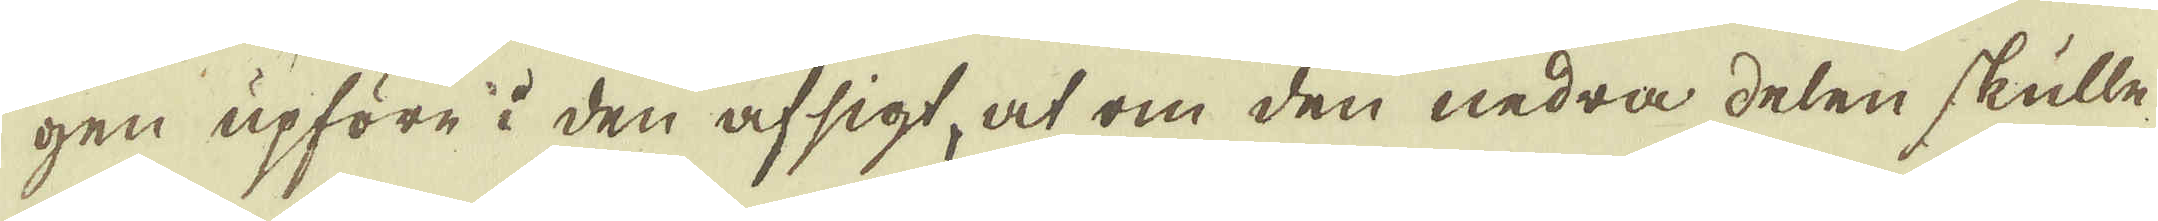gen upföre i den afsigt, at om den nedra delen skulle
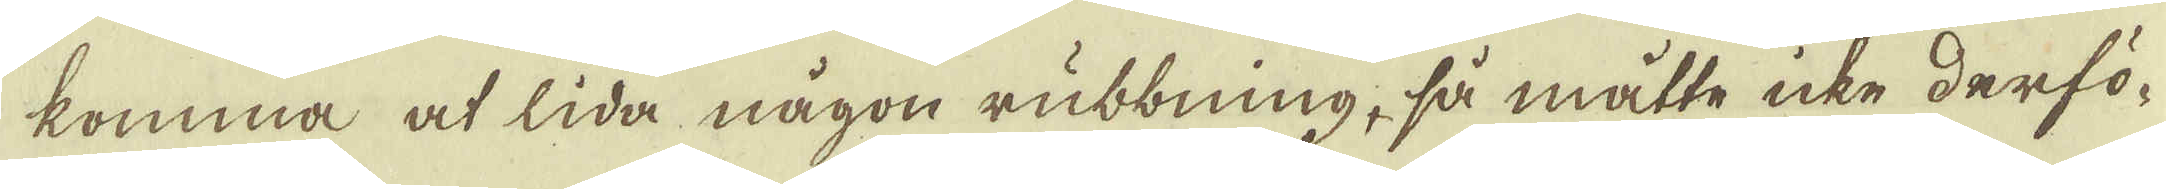komma at lida någon rubbning, så måtte icke derfö-
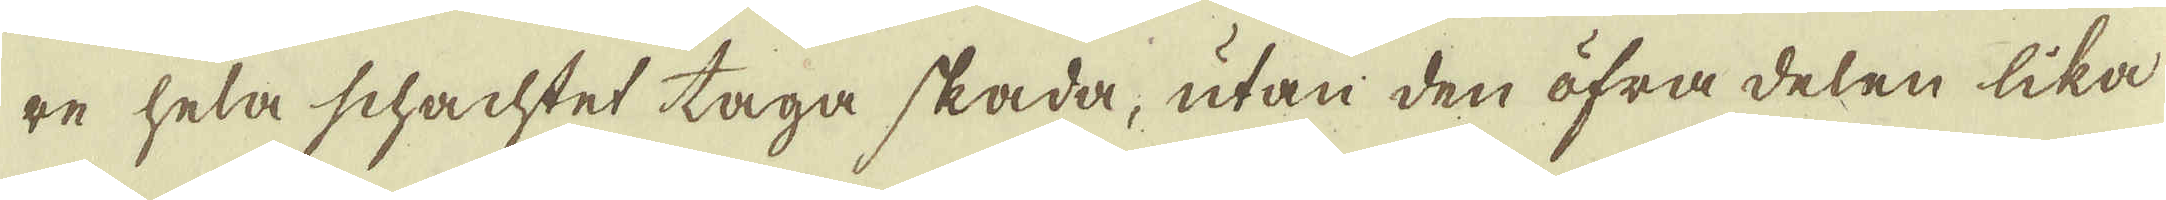re hela schachtet taga skada, utan den öfrå delen lika
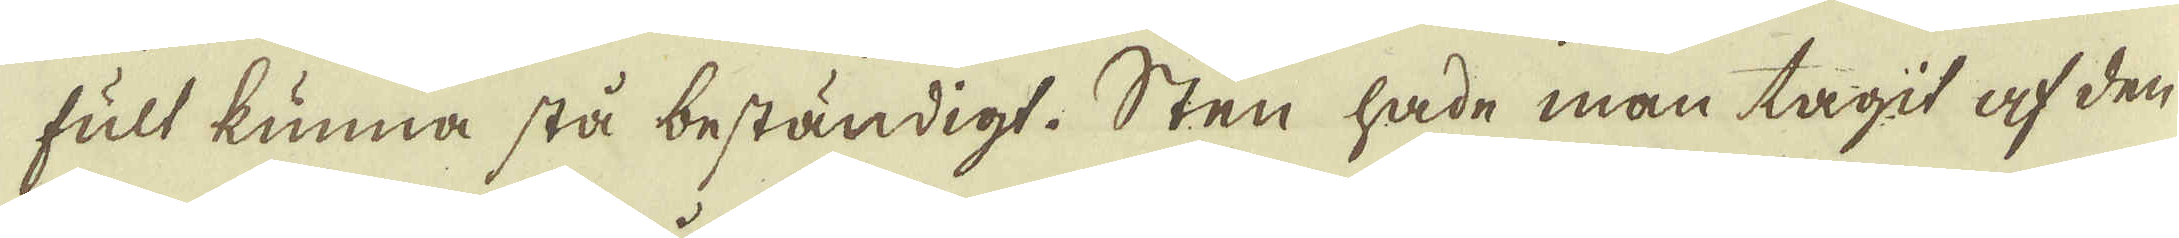fult kunna stå beständigt. Sten hade man tagit af den
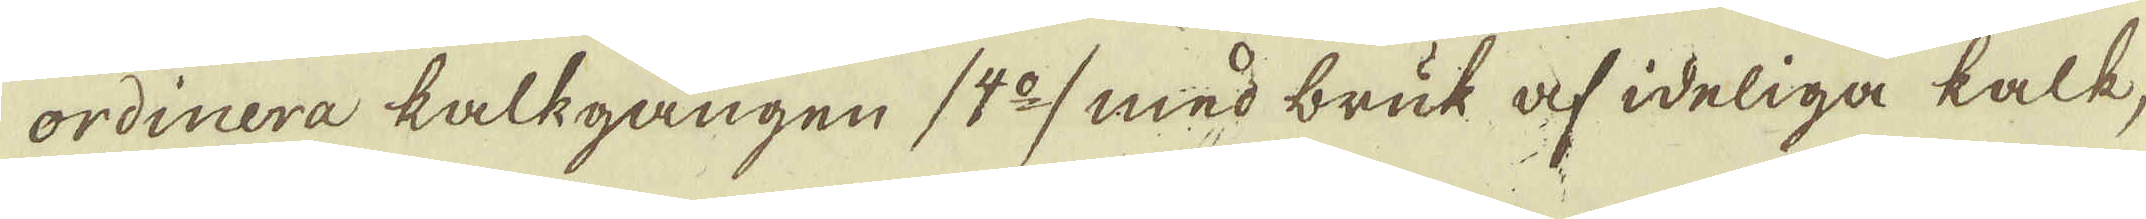ordinera kallgången (4:o) med bruk af ideliga kalk,
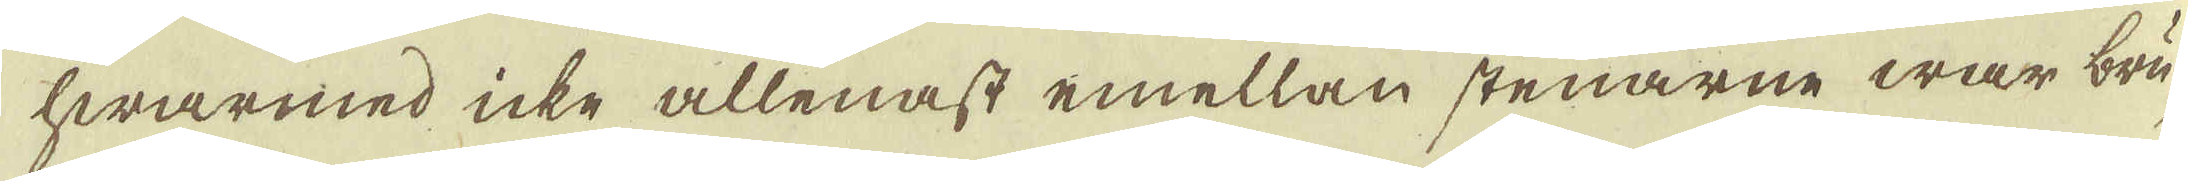hwarmed icke allenast emellan stenarne war bru-
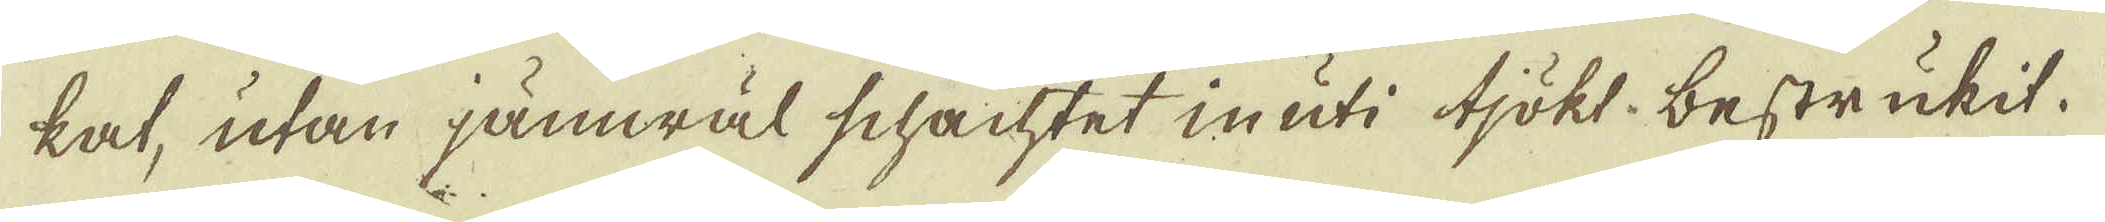kat, utan jämwäl schachtet in uti tjökt bestrukit.
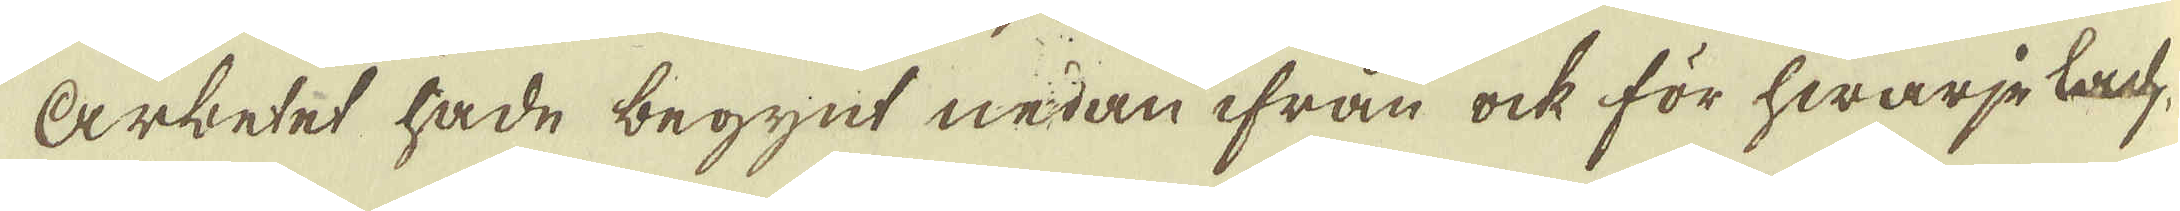Arbetet hade begynt nedan ifrån ock för hwarje lach-
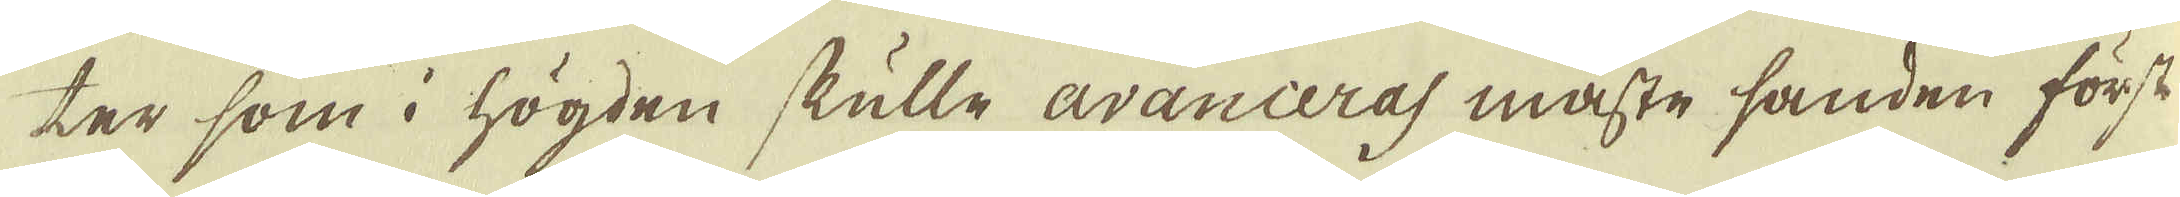ter som i högden skulle avanceras måste sanden först
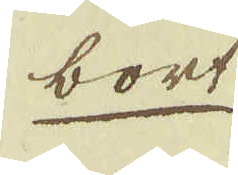bort
